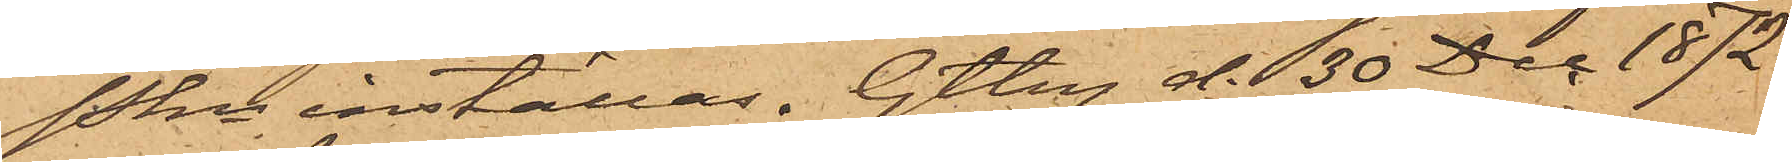Pkn inställas. Gtbg d. 30 Dec 1872.
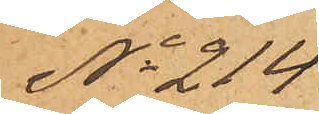No 214
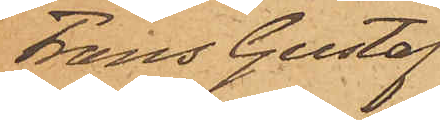Frans Gustaf
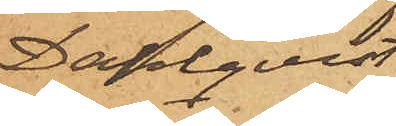Dahlqvist.
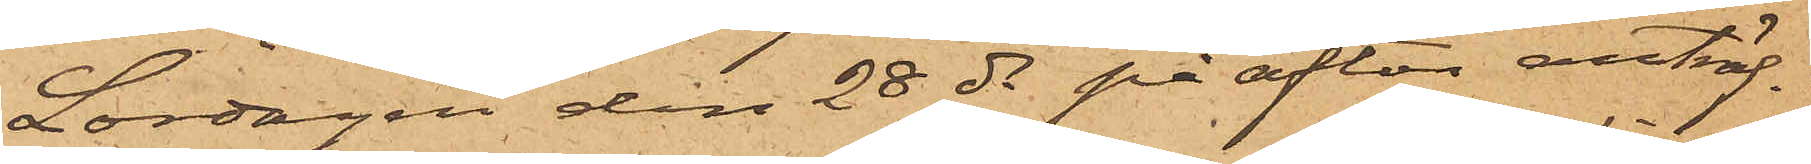Lördagen den 28 ds på afton anträf¬
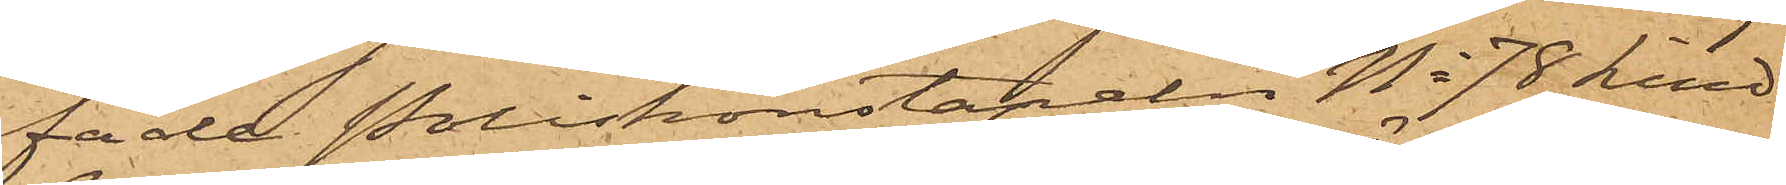fade Poliskonstapeln No 78 Lind¬
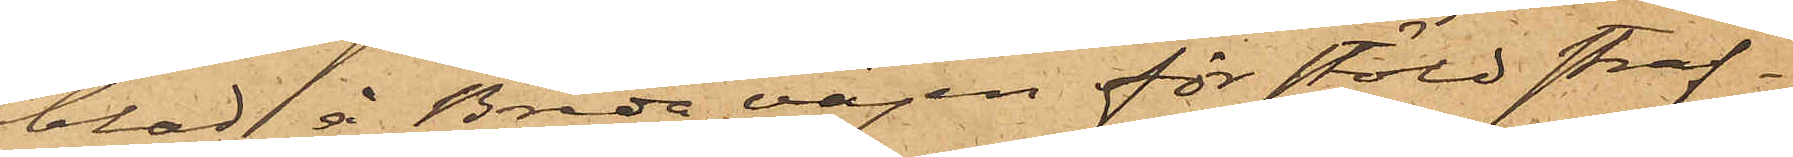blad å Breda vägen för stöld straf¬
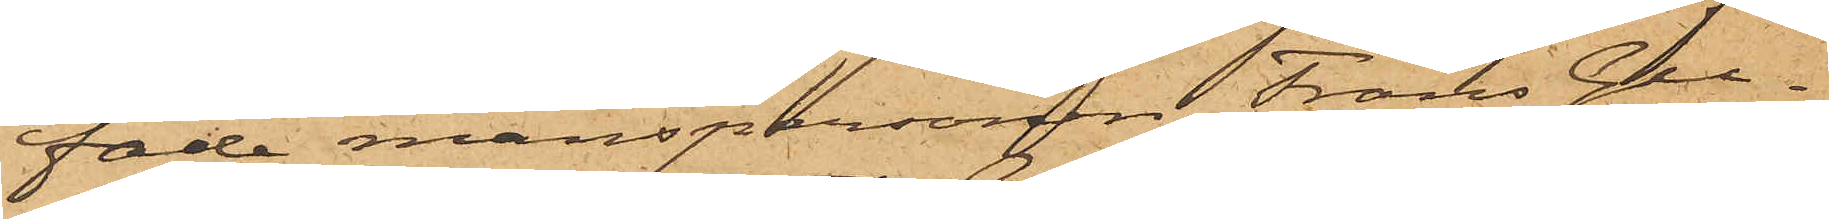fade manspersonen Frans Gu¬
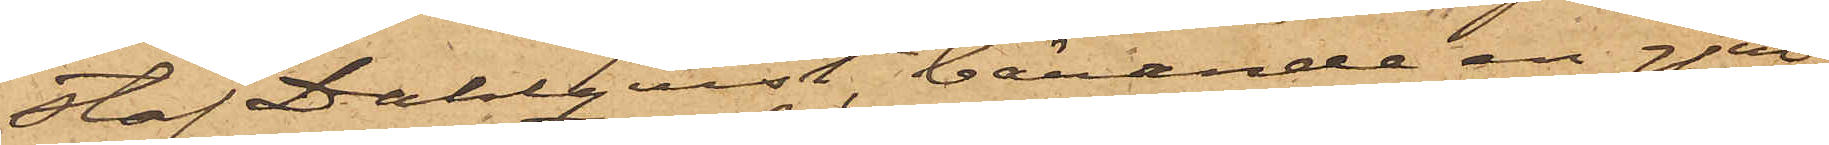Haf Dahlqvist, bärande en gjut¬
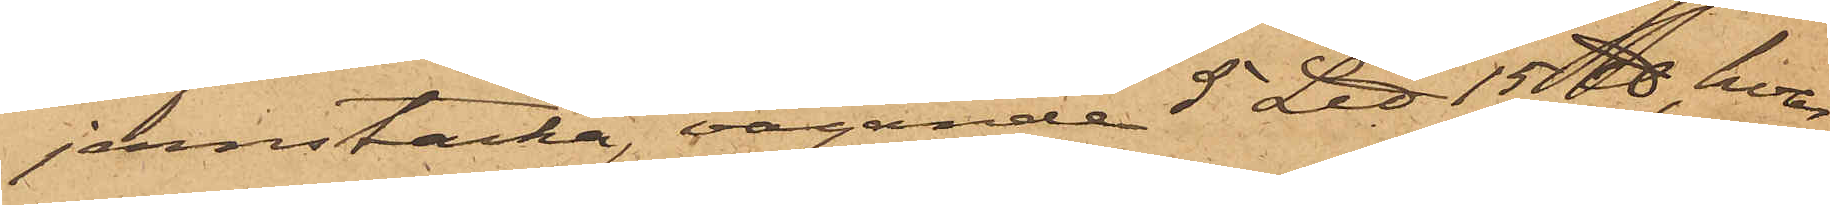jernstacka, vägande 5 L℔ 15℔, hvar¬
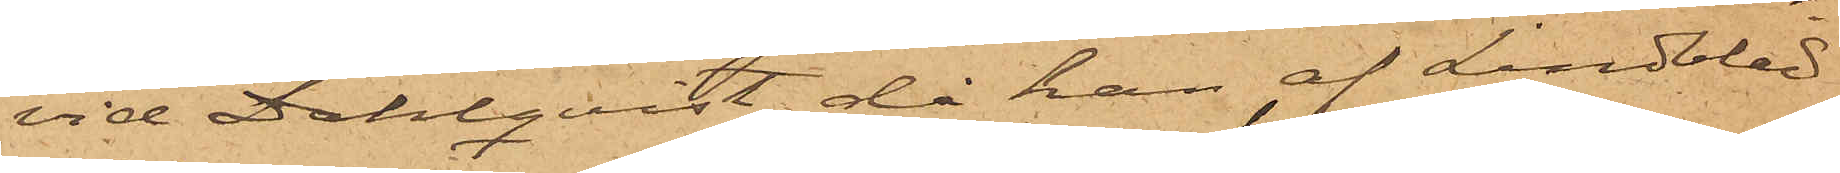vid Dahlqvist, då han af Lindblad
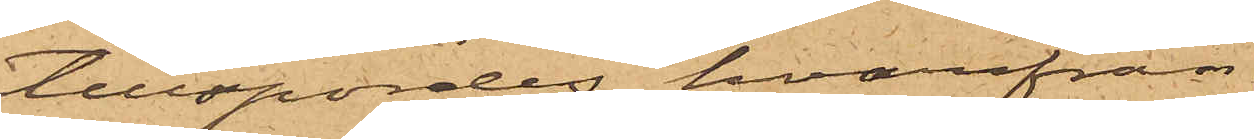tillspordes hvarifrån
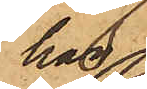han
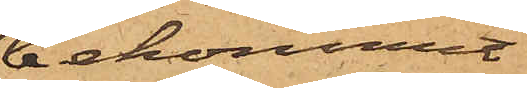bekommit
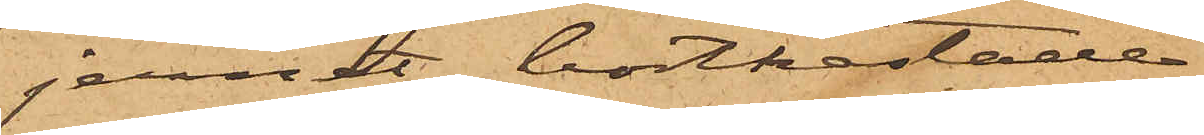jernet bortkastade
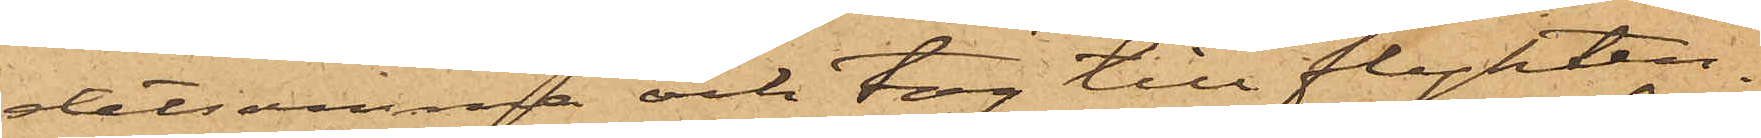detsamma och tog till flykten.
